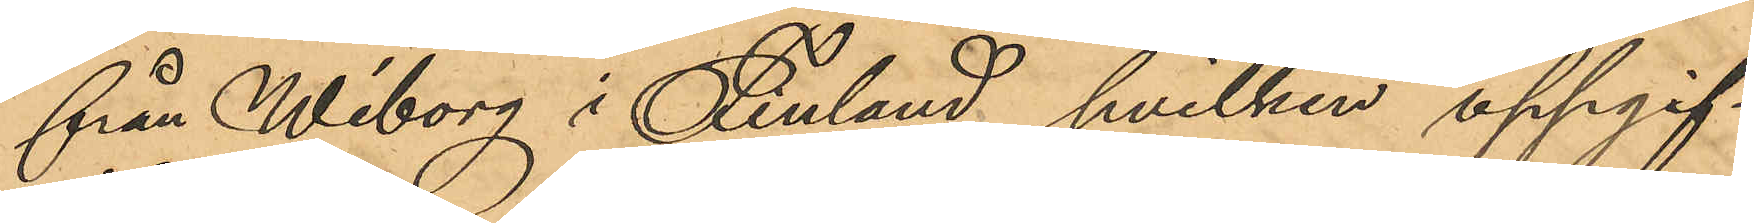från Wiborg i Finland, hvilken uppgif¬
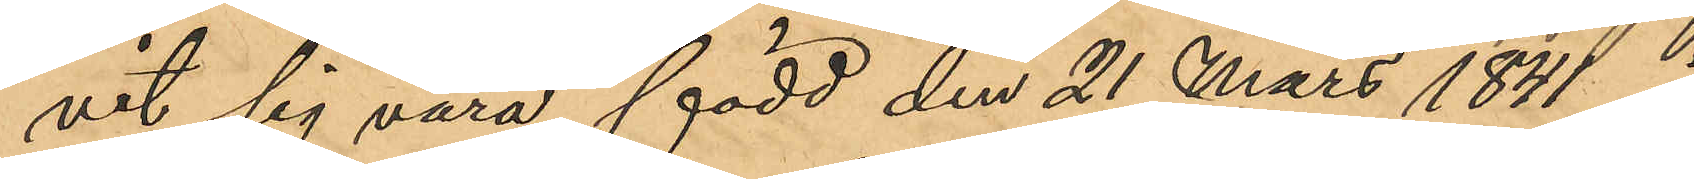vit sig vara född den 21 Mars 1841 i
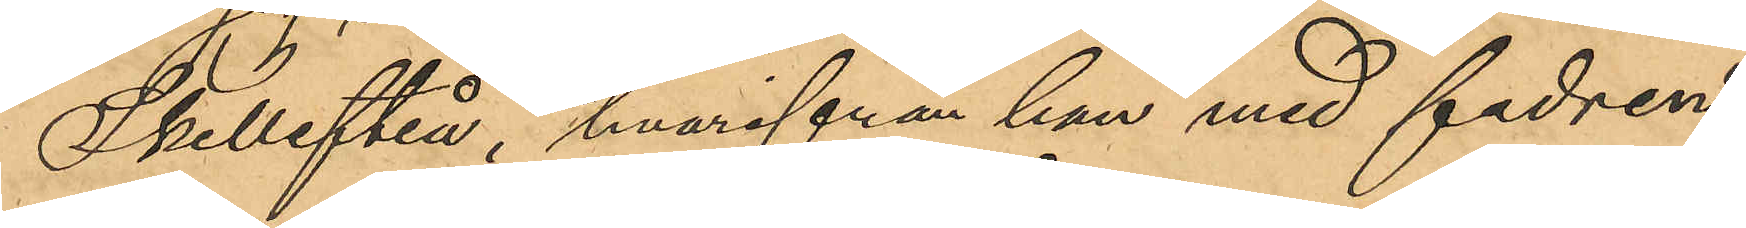Skellefteå, hvarifrån han med fadren,
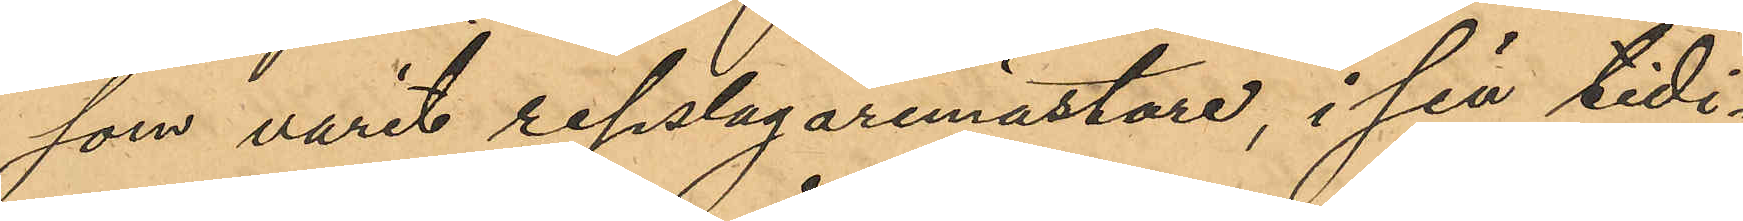som varit repslagaremästare, i sin tidi¬
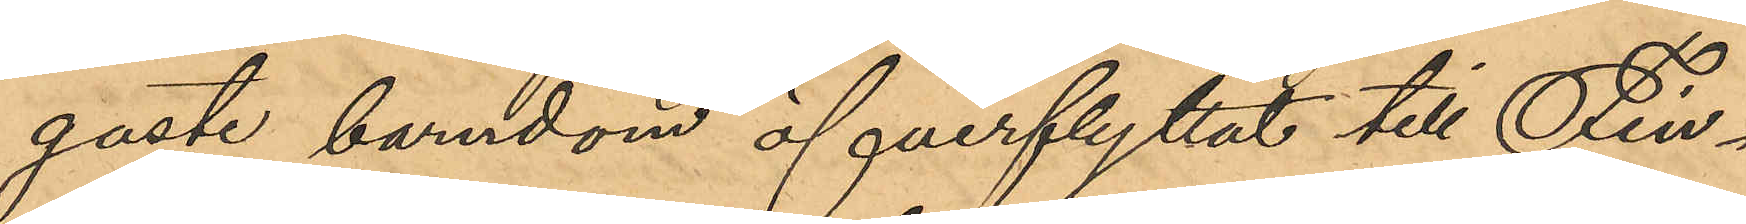gaste barndom öfverflyttat till Fin¬
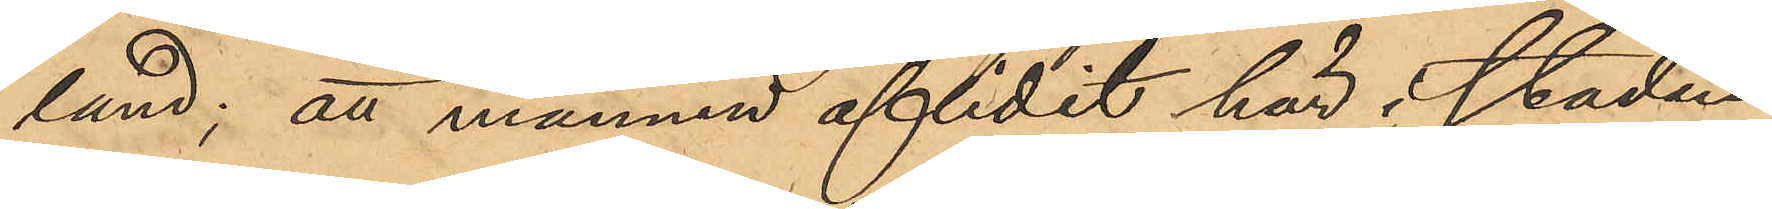land; att mannen aflidit här i staden
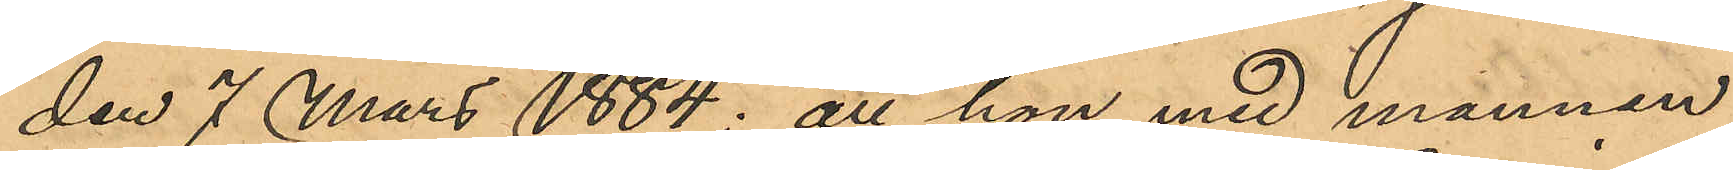den 7 Mars 1884; att hon med mannen
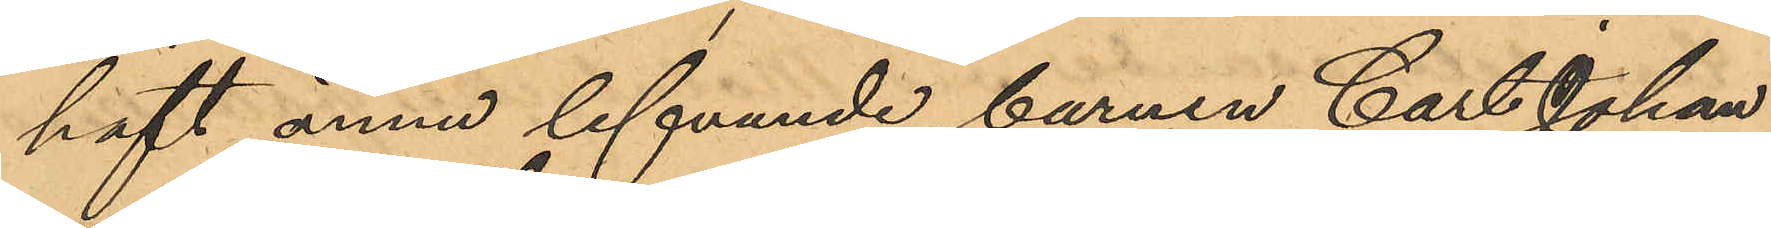haft ännu lefvande barnen Carl Johan
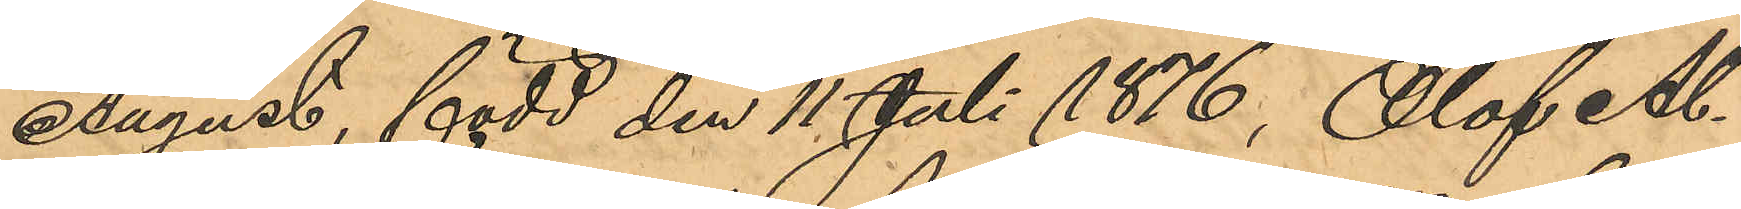August, född den 11 Juli 1876, Olof Al¬
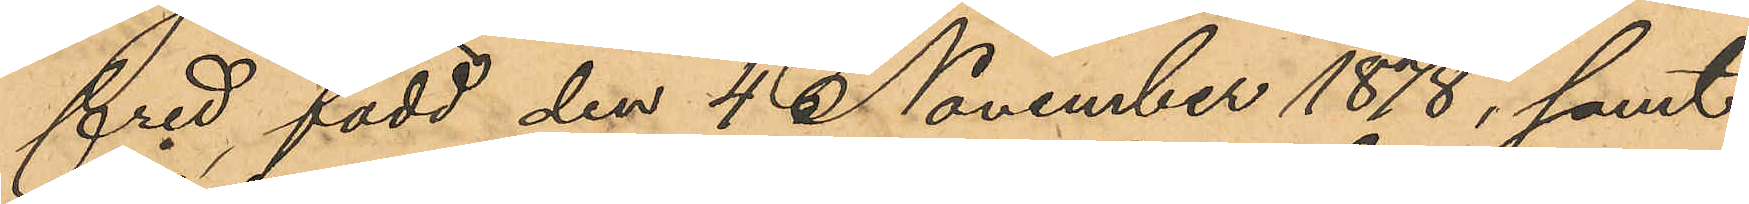fred, född den 4 November 1878, samt
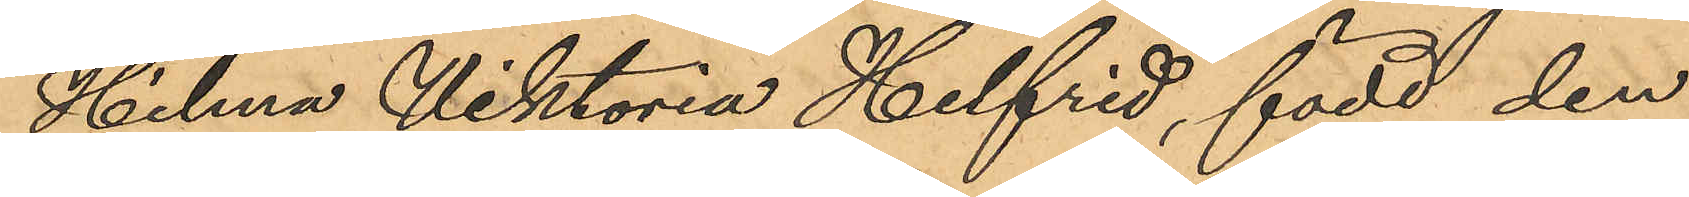Helena Viktoria Helfrid, född den
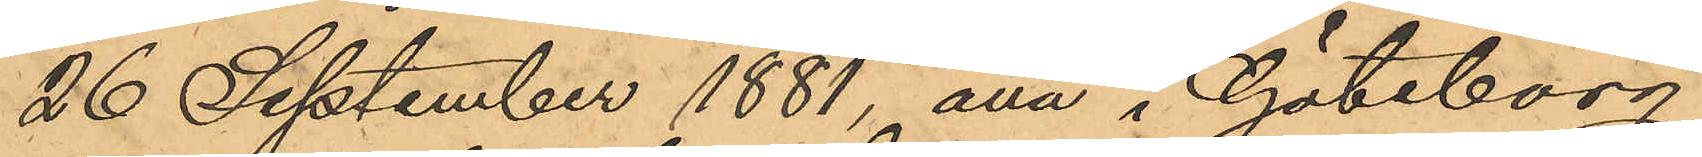26 September 1881, alla i Göteborg;
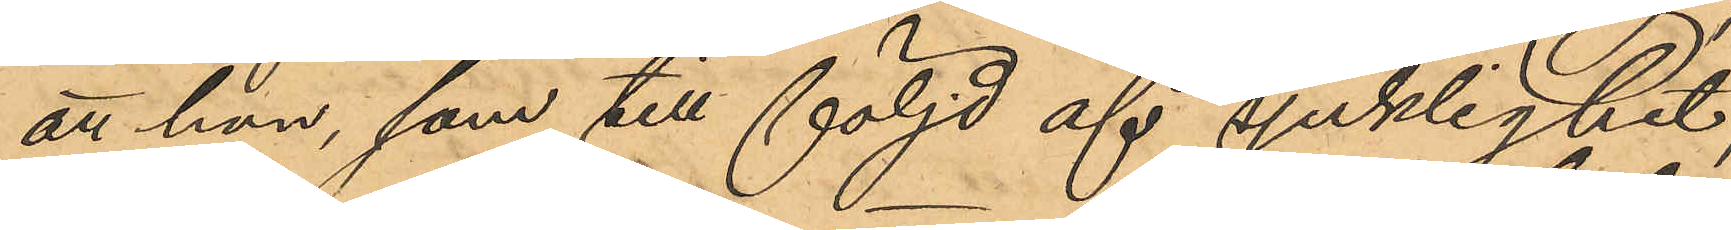att hon, som till följd af sjuklighet,
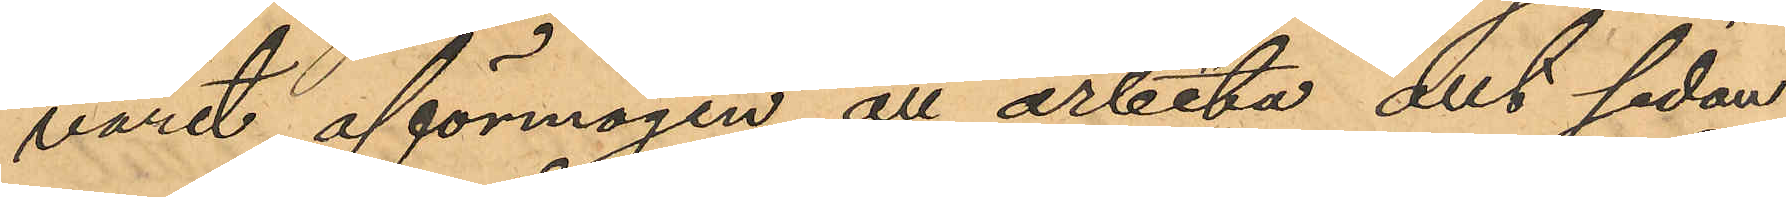varit oförmögen att arbeta allt sedan
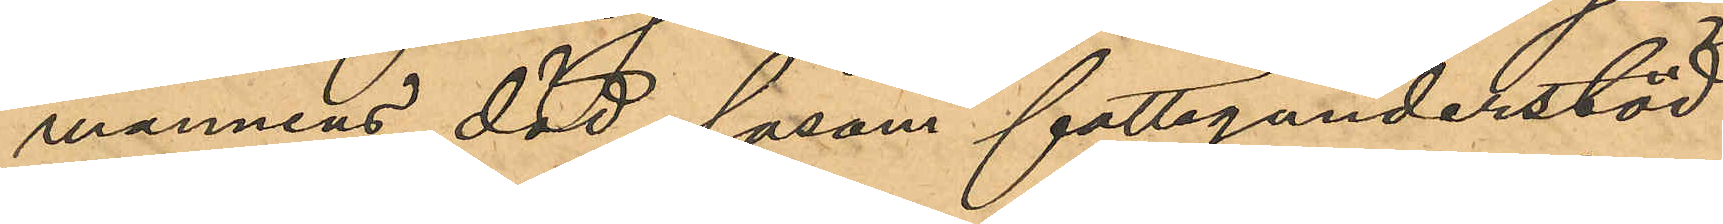mannens död,  såsom fattigunderstöd
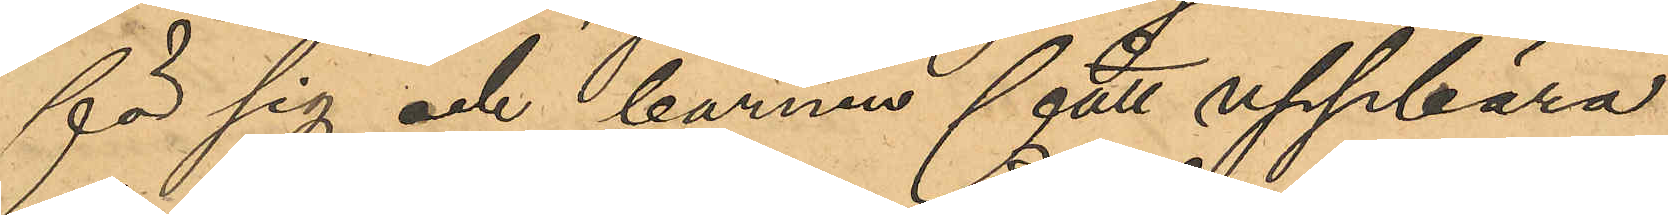för sig och barnen fått uppbära
